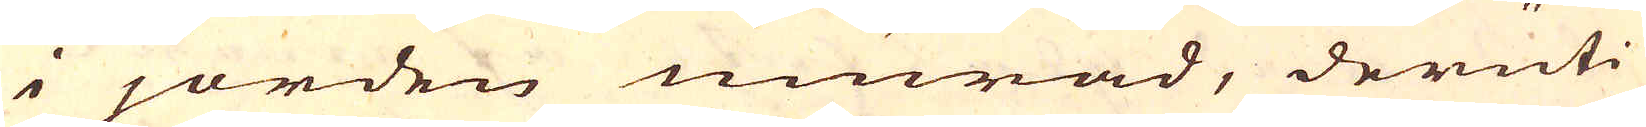i jorden murad, deruti
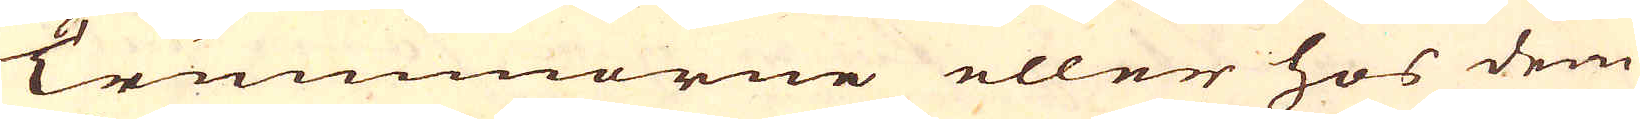Trummorne eller hos dem
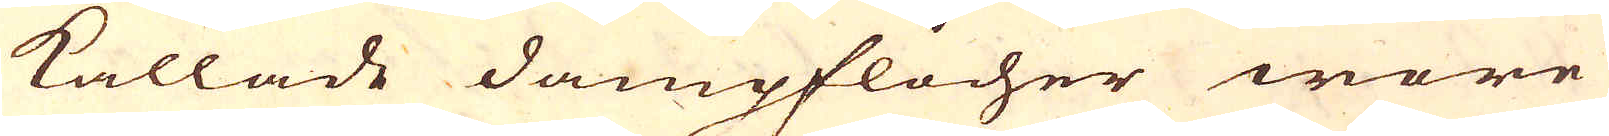kallade dampflocher wore
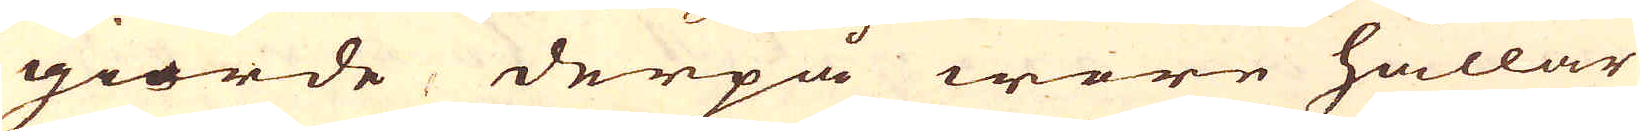giorde derpå wore hällar
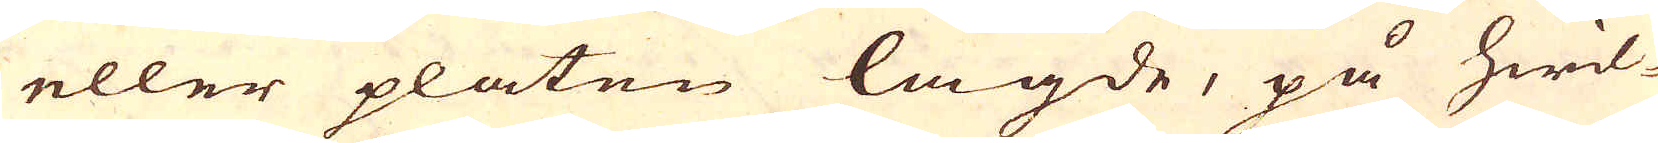eller platen lagde, på hwil-
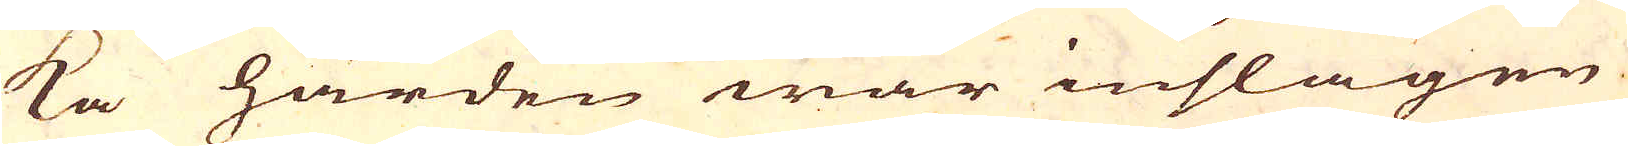ka härden war inslagen
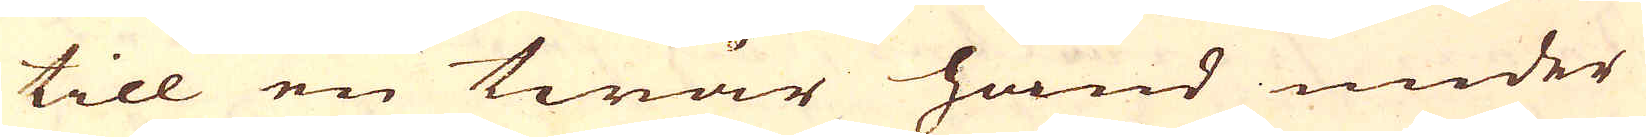till en twär hand under
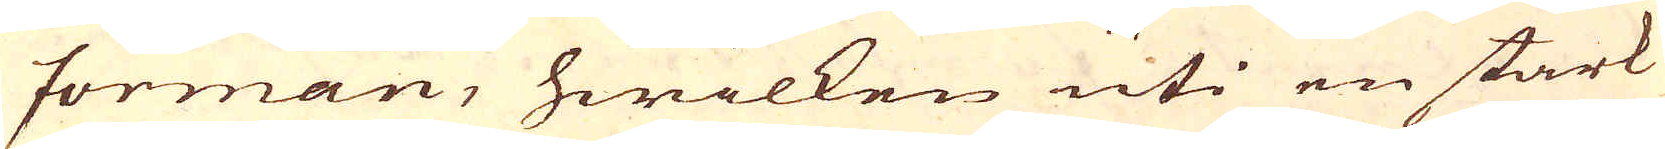forman, hwilken uti en stark
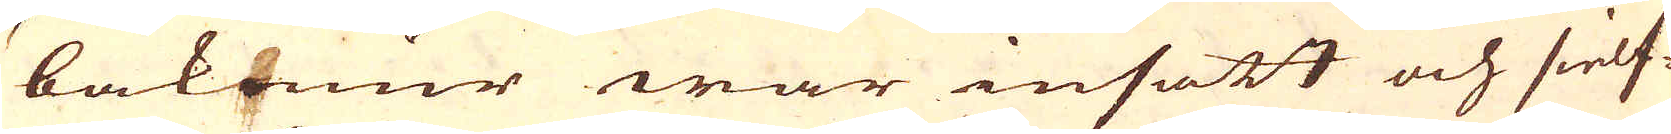bakmur war insatt och sielf-
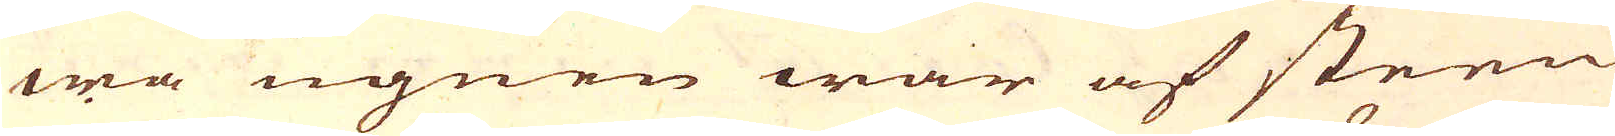wa ugnen war af steen
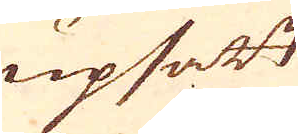upsatt
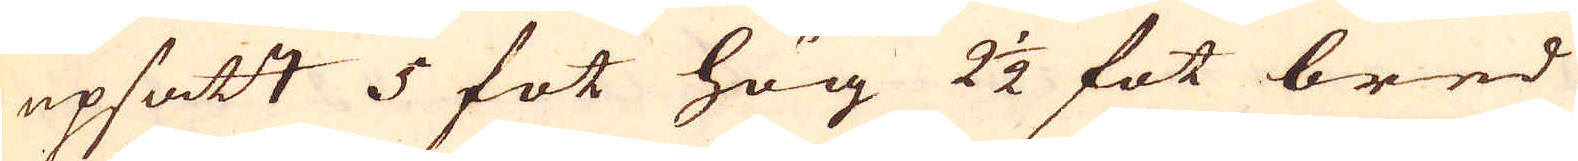upsatt 5 fot hög 2 1/2 fot bred
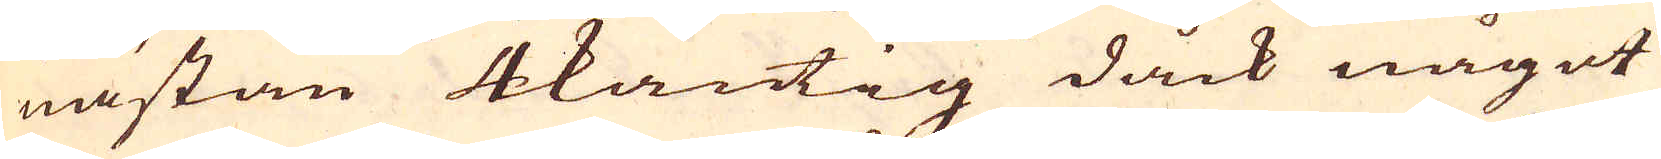nästan 4kantig dåck något
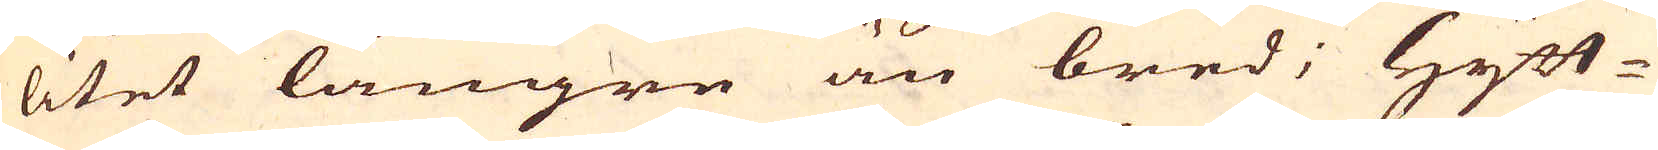litet längre än bred; Hytt-
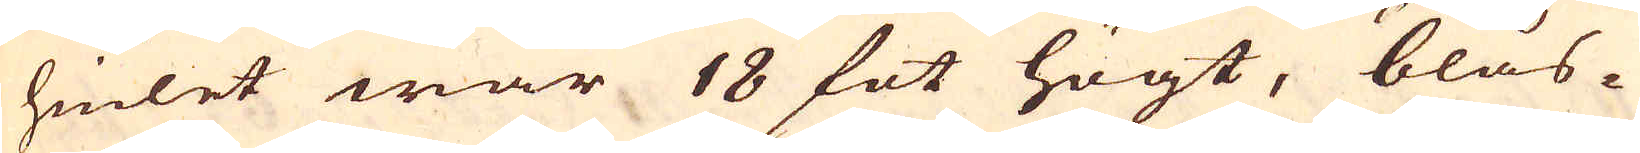hiulet war 18 fot högt, blås-
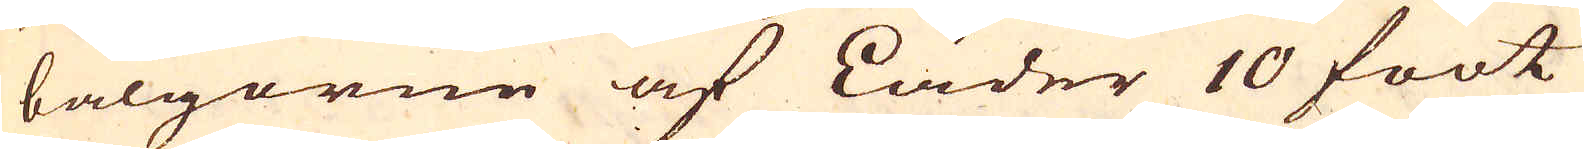bälgorne af Läder 10 foot
